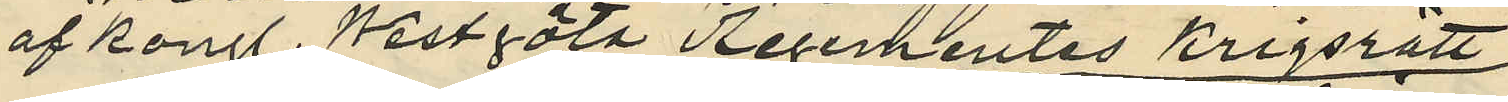af Kongl. Westgöta Regementes krigsrätt
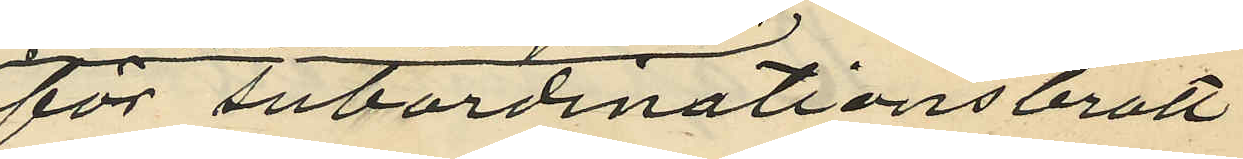för subordinationsbrott
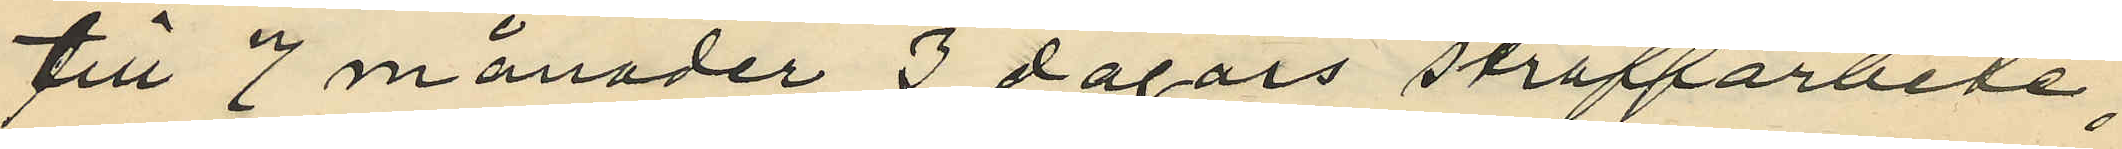till 7 månader 3 dagars straffarbete;
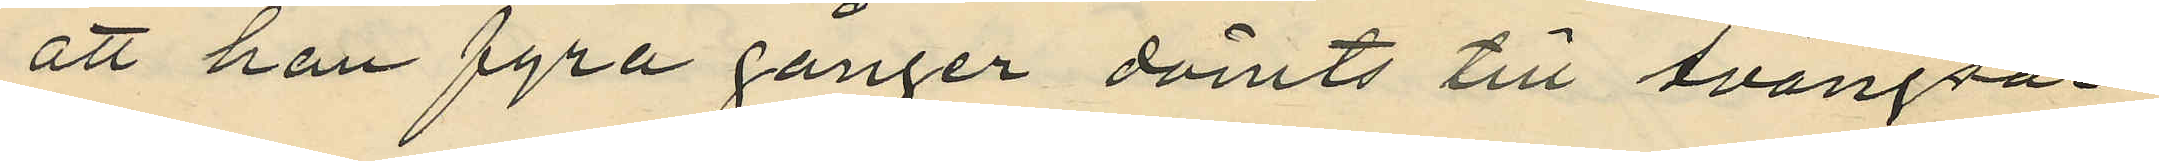att han fyra gånger dömts till tvångsar¬
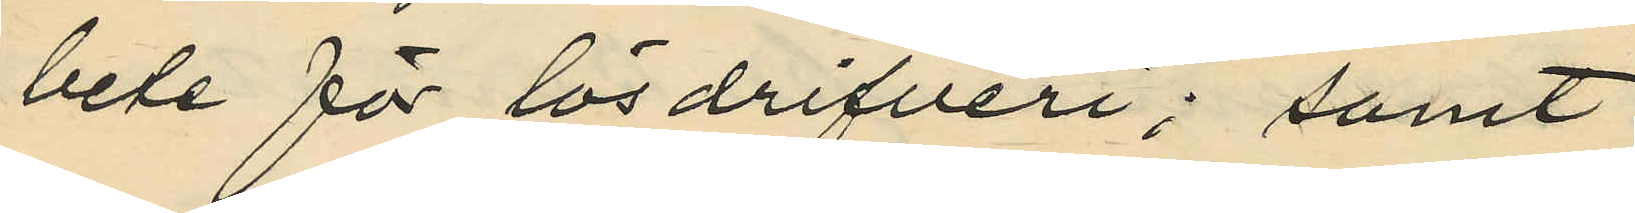bete för lösdrifveri; samt
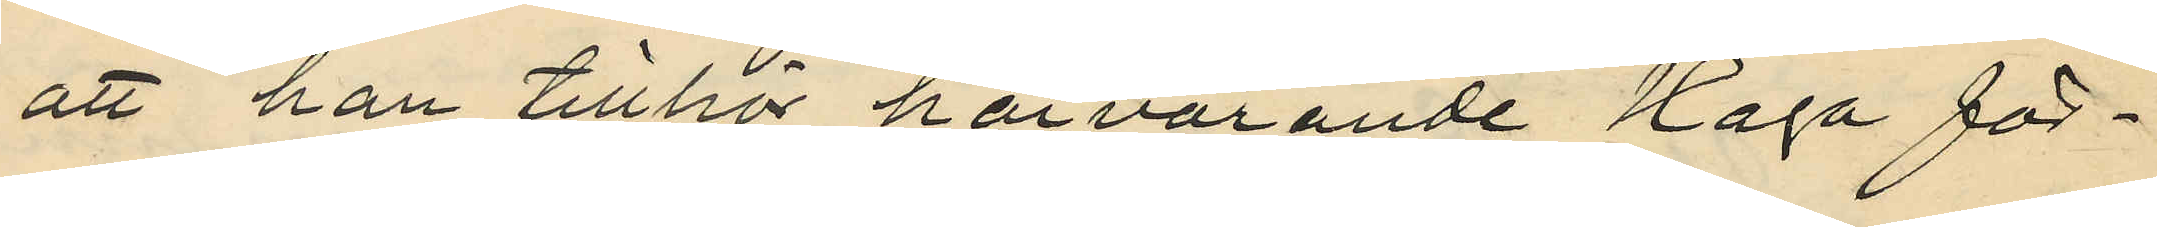att han tillhör härvarande Haga för¬
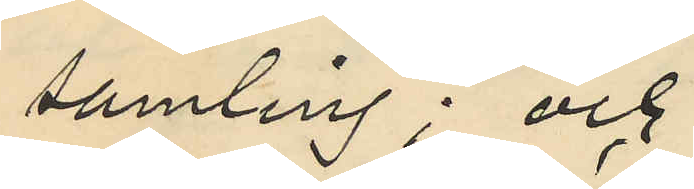samling; och
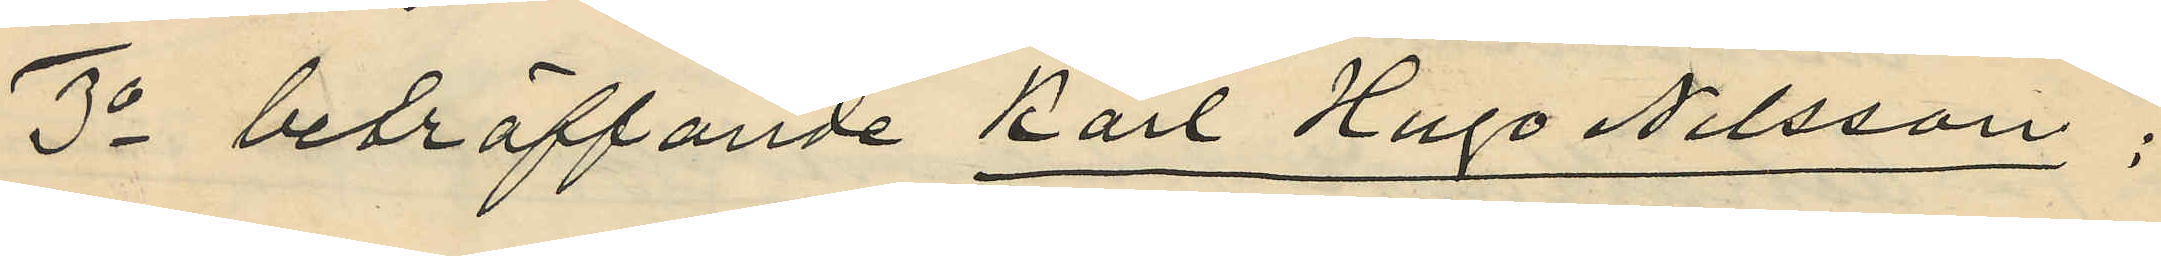3o beträffande Karl Hugo Nilsson:
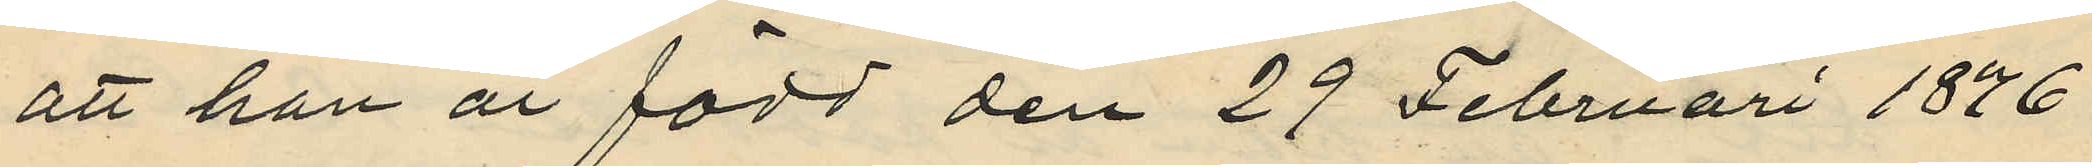att han är född den 29 Februari 1876
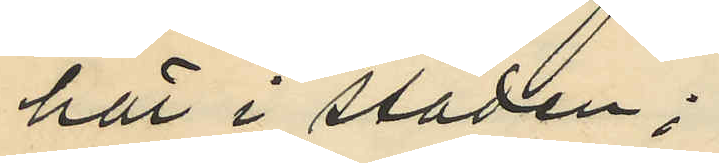här i staden;
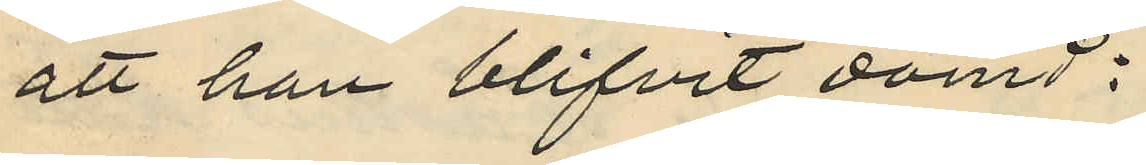att han blifvit dömd:
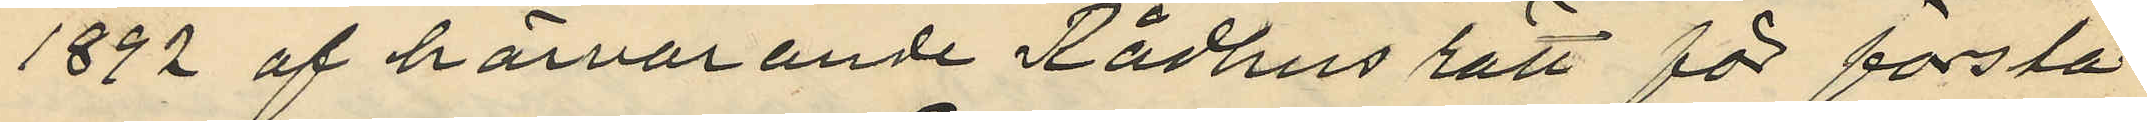1892 af härvarande Rådhus rätt för första
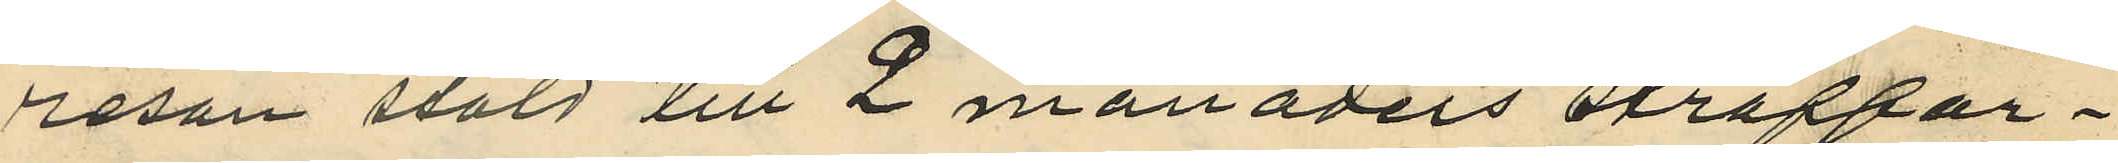resan stöld till 2 månaders straffar¬
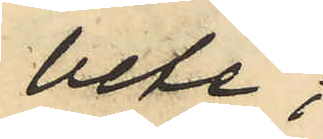bete;
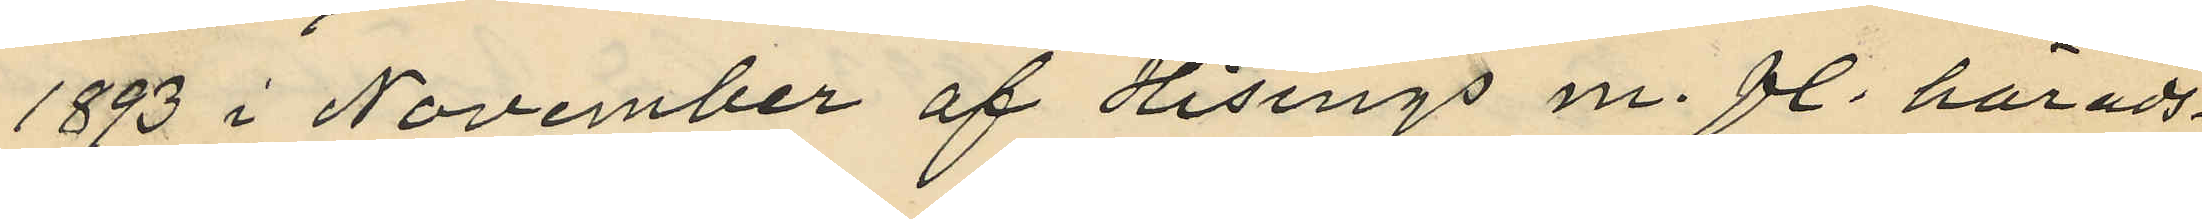1893 i November af Hisings m. fl. härads¬
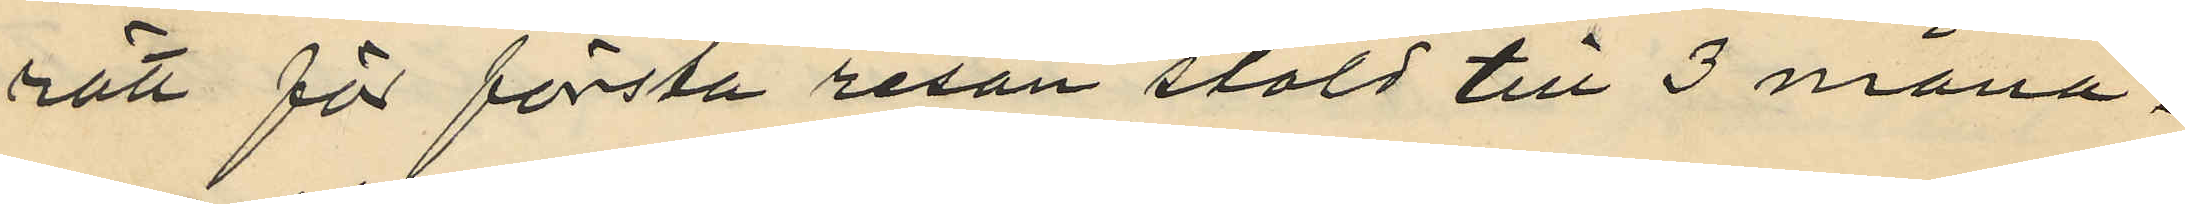rätt för första resan stöld till 3 måna¬
